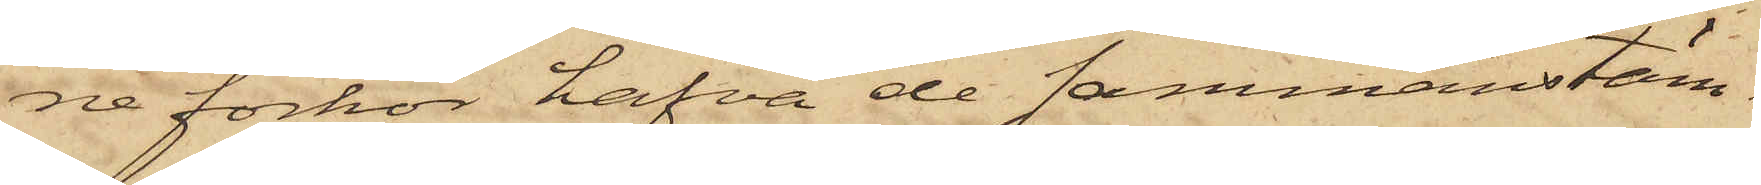ne förhör hafva de sammanstäm¬
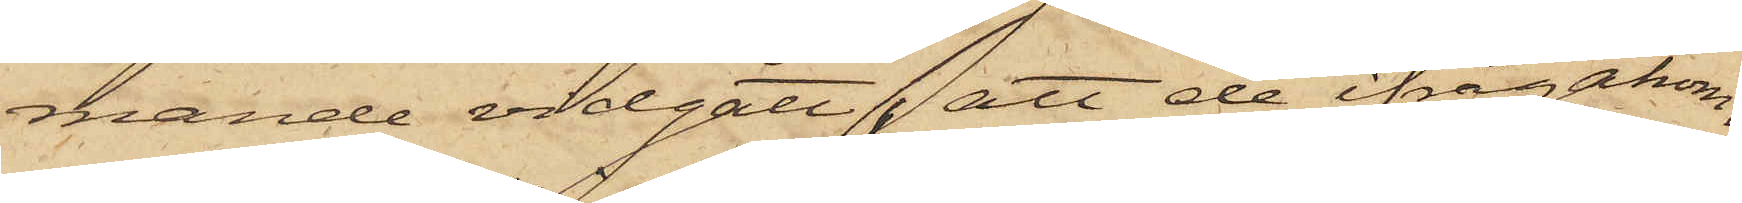mande vidgått, att de ifrågakom¬
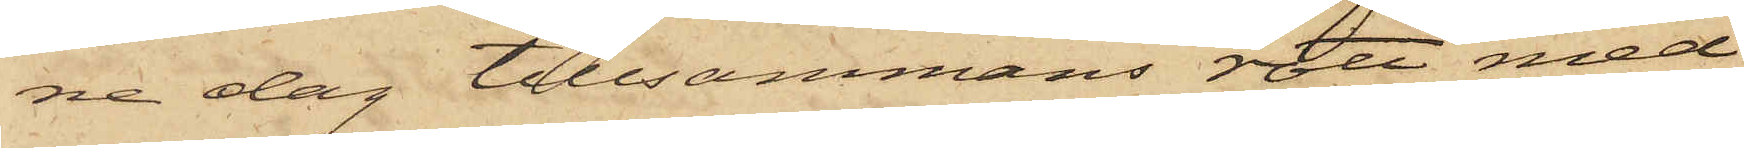ne dag tillsammans rott med
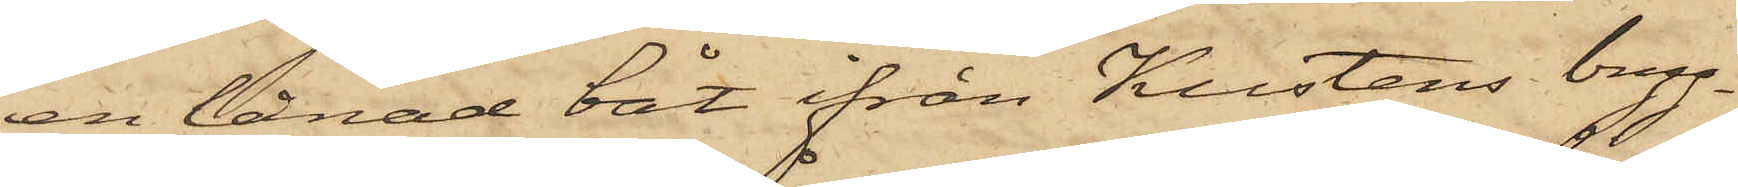en lånad båt ifrån Kustens bryg¬
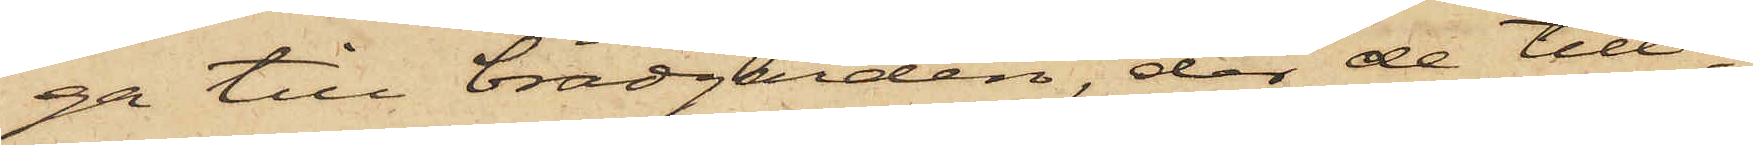ga till brädgården, der de till¬
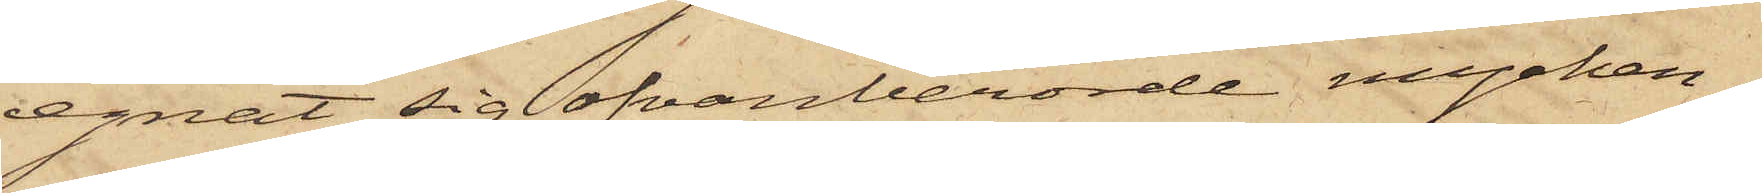egnat sig ofvanberörde mycken¬
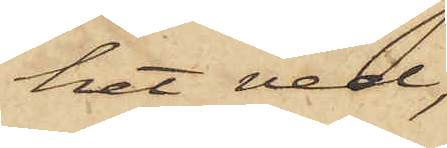het ved,
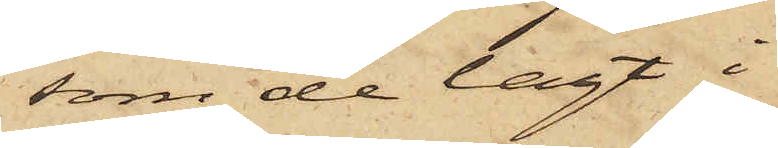som de lagt i
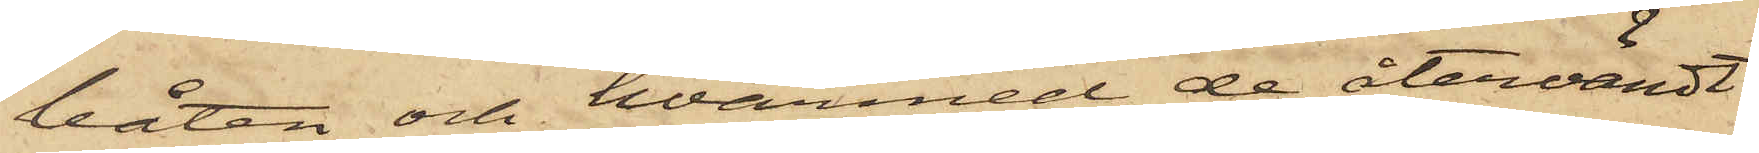båten och hvarmed de återvändt
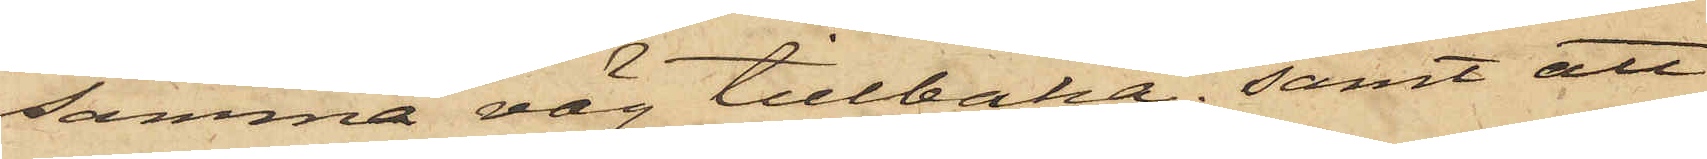samma väg tillbaka; samt att
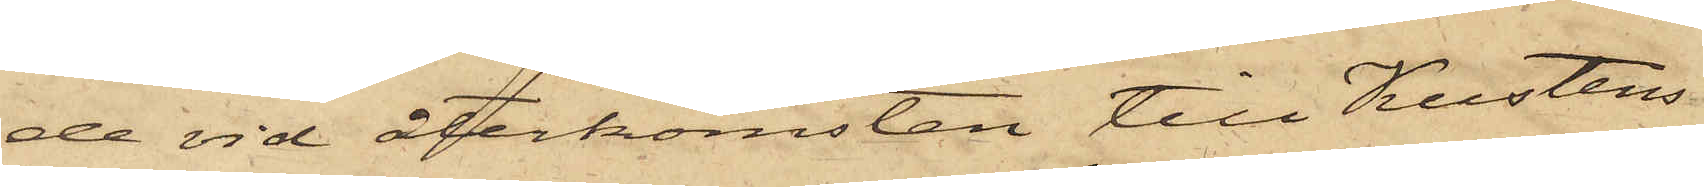de vid återkomsten till Kustens
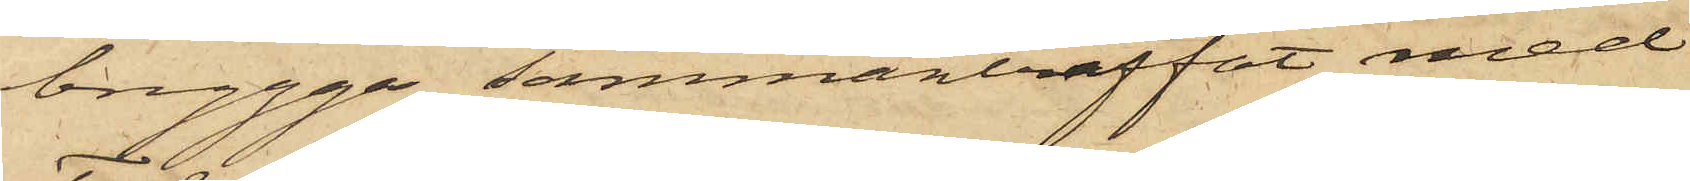brygga sammanträffat med
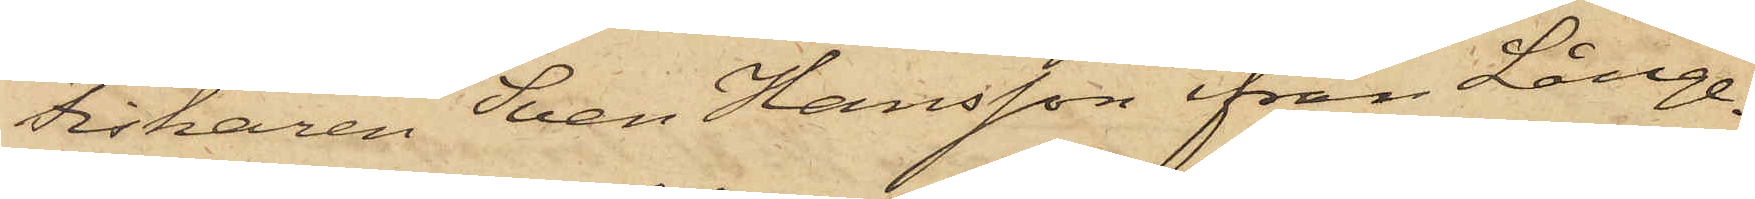fiskaren Sven Hansson från Långe¬
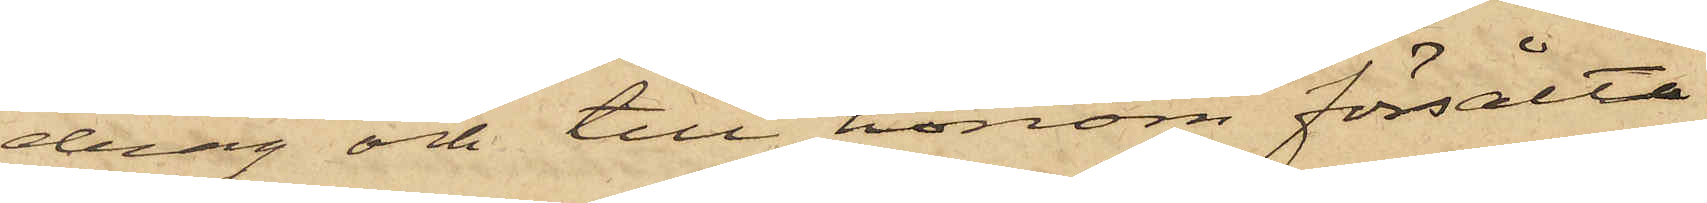drag och till honom försålt
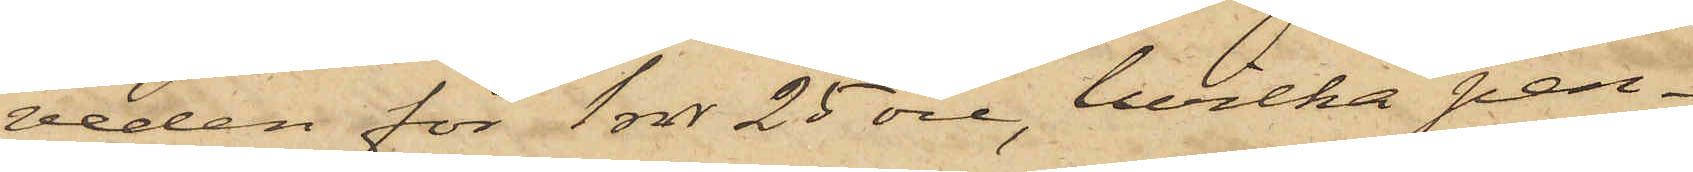veden för 1 rdr 25 öre, hvilka pen¬
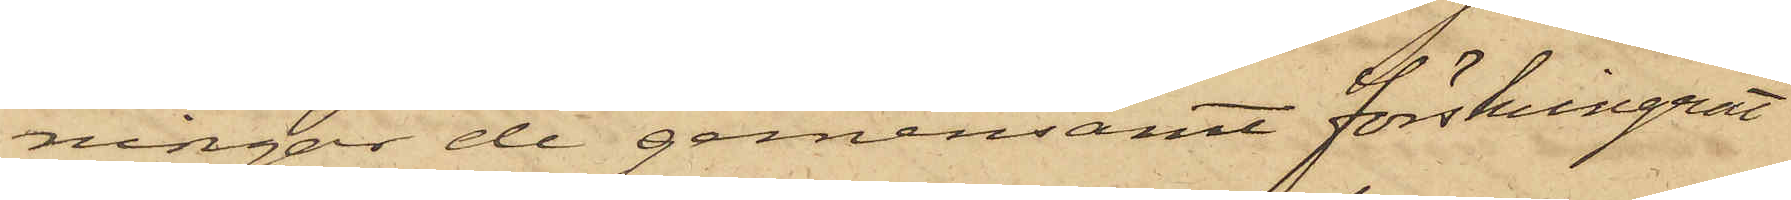ningar de gemensamt förskingrat
